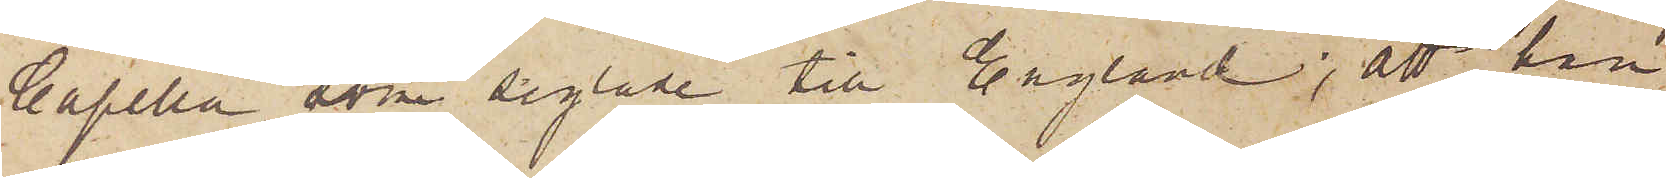Capella, som seglade till England; att han
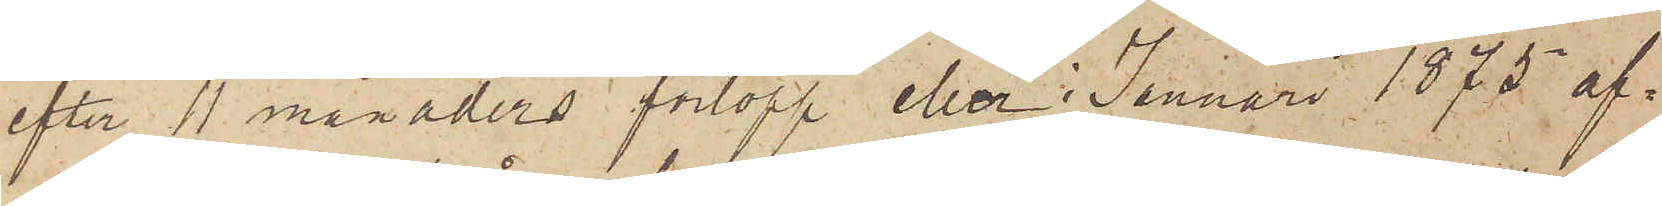efter 11 månaders förlopp eller i Januari 1875 af¬
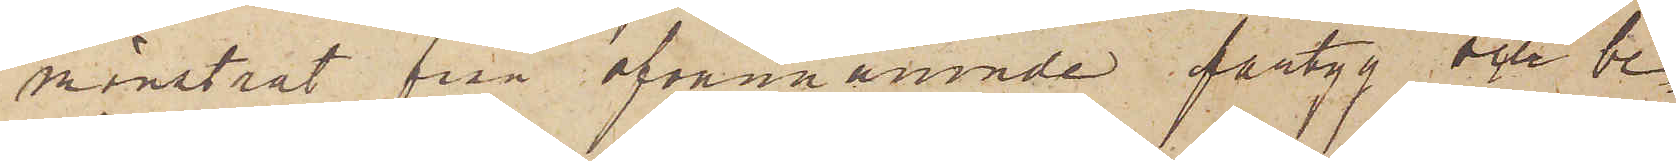mönstrat från ofvannämnde fartyg och be¬
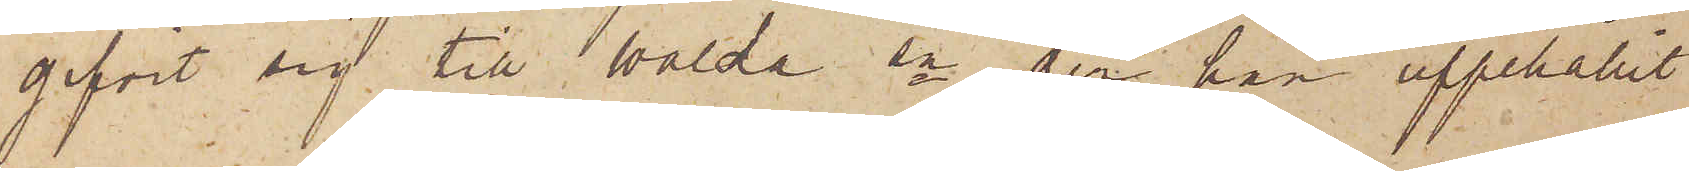gifvit sig till Walda sn, der han uppehållit
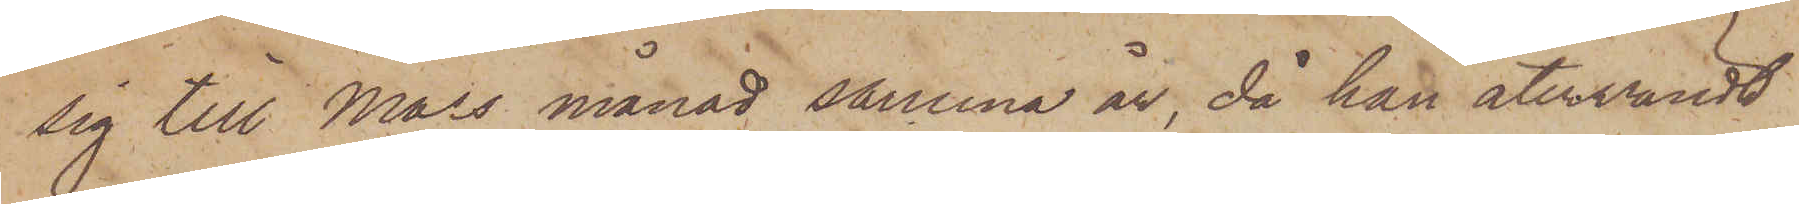sig till Mars månad samma år, då han återvändt
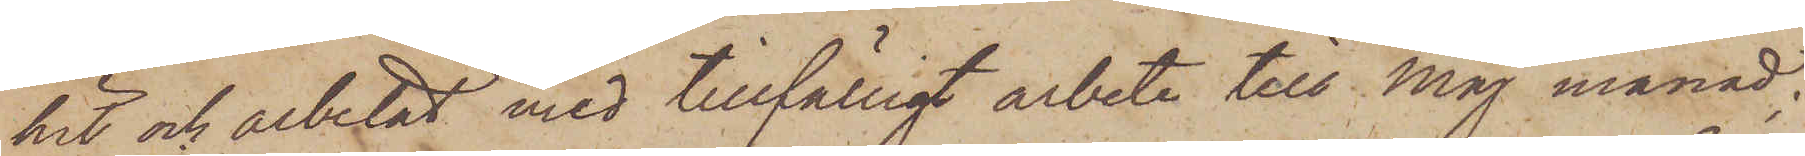hit och arbetat med tillfälligt arbete till Maj månad;
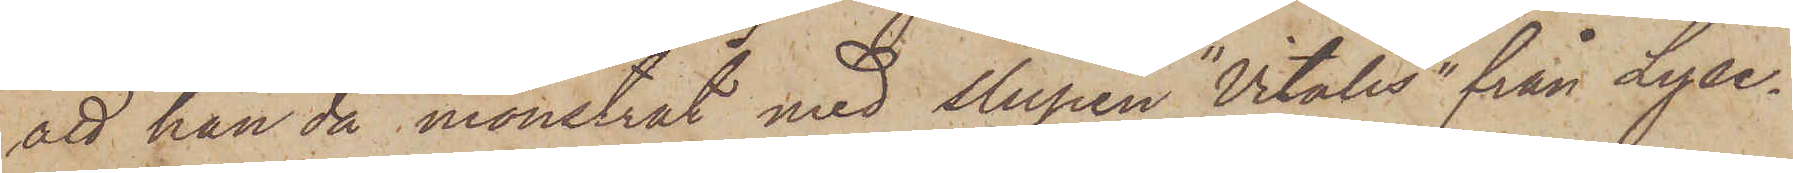att han då mönstrat med slupen "Vitalis" från Lyse¬
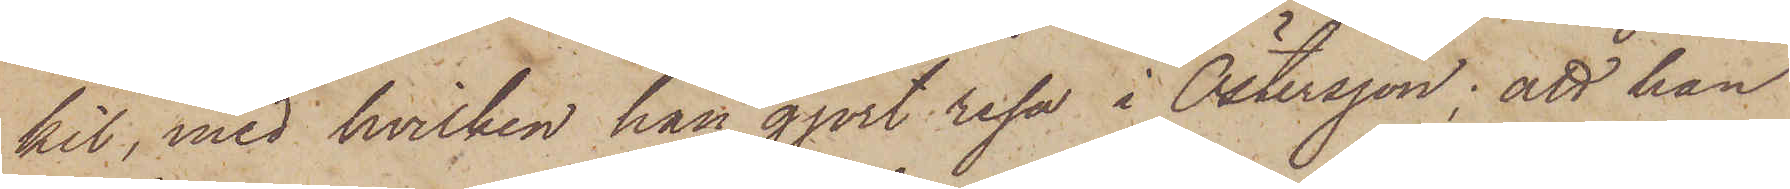kil, med hvilken han gjort resa i Östersjön; att han
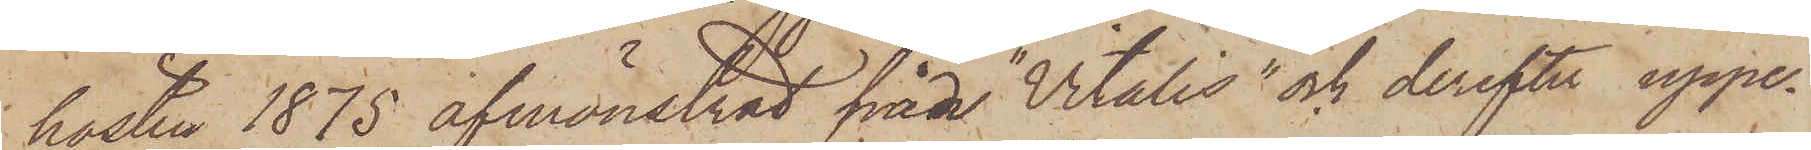hösten 1875 afmönstrat från "Vitalis" och derefter uppe¬
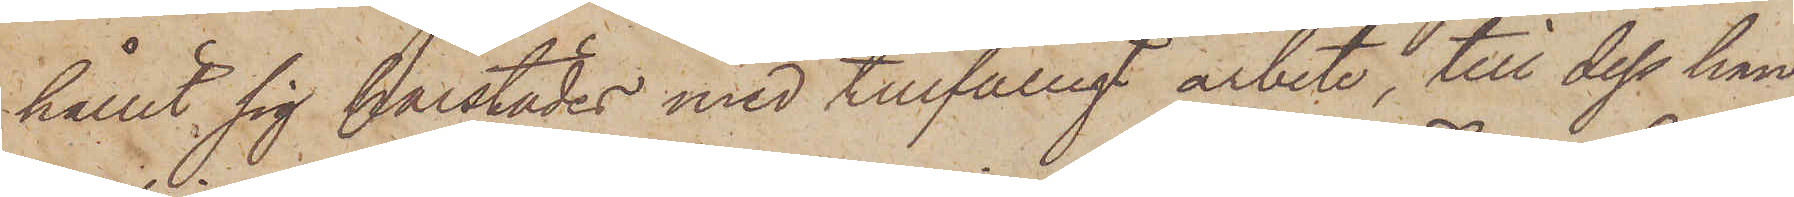hållit sig härstädes med tillfälligt arbete, till dess han
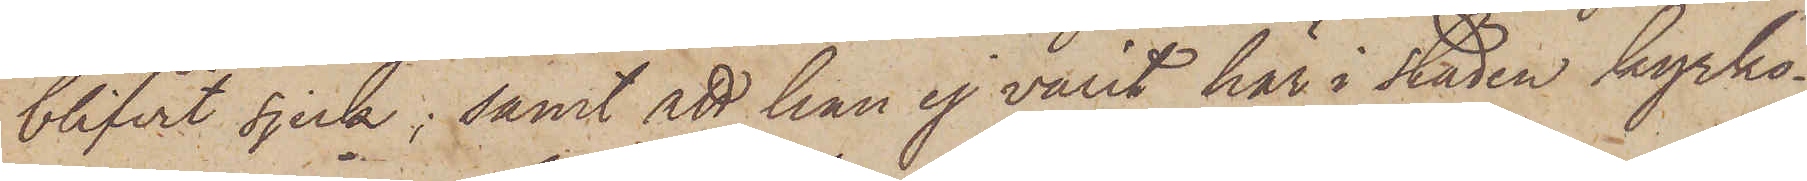blifvit sjuk; samt att han ej varit här i staden kyrko-
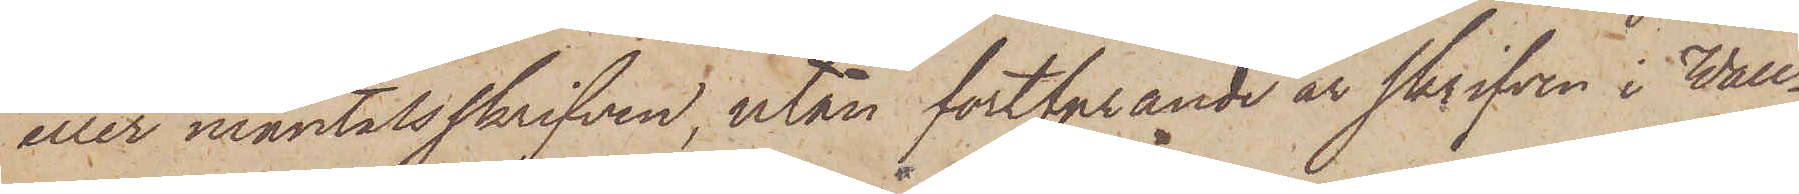eller mantalsskrifven, utan fortfarande är skrifven i Wall¬
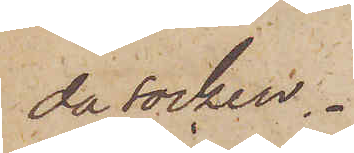da socken.
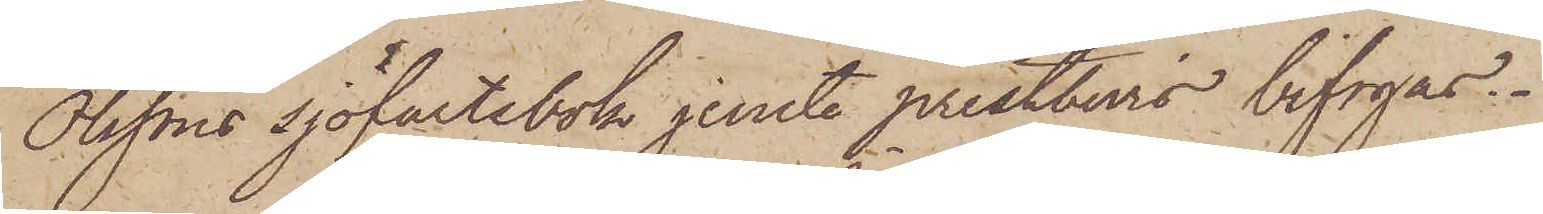Olssons sjöfartsbok jemte prestbers bifogas.
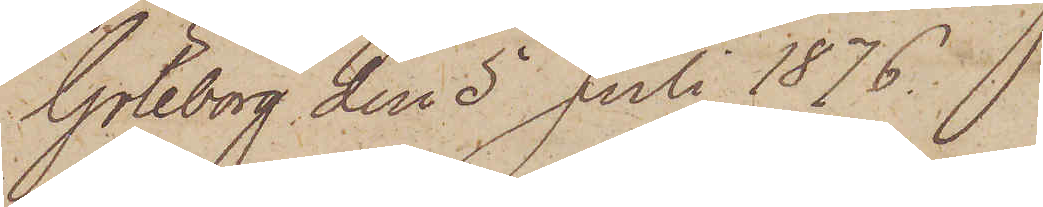Göteborg den 5 Juli 1876.
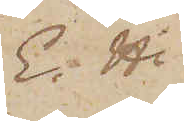E. H.
